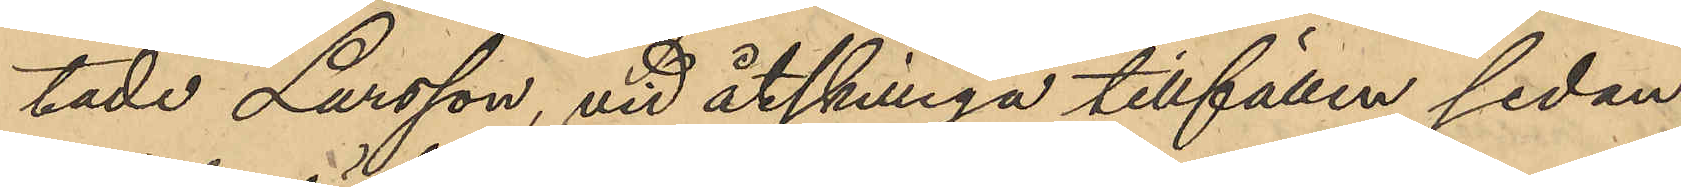tade Larsson, vid åtskilliga tillfällen sedan
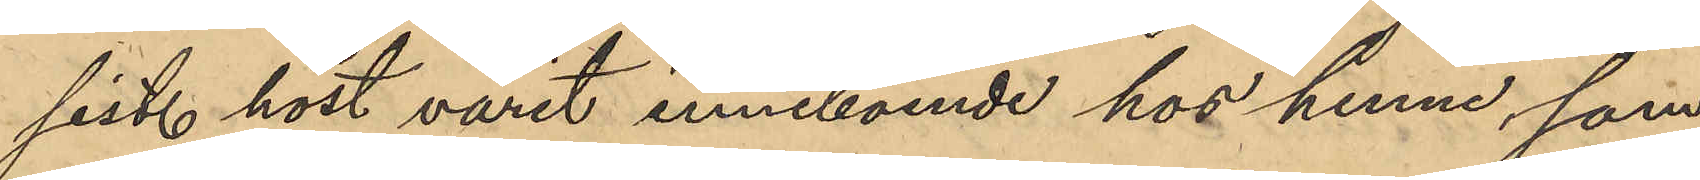sist. höst varit inneboende hos henne som
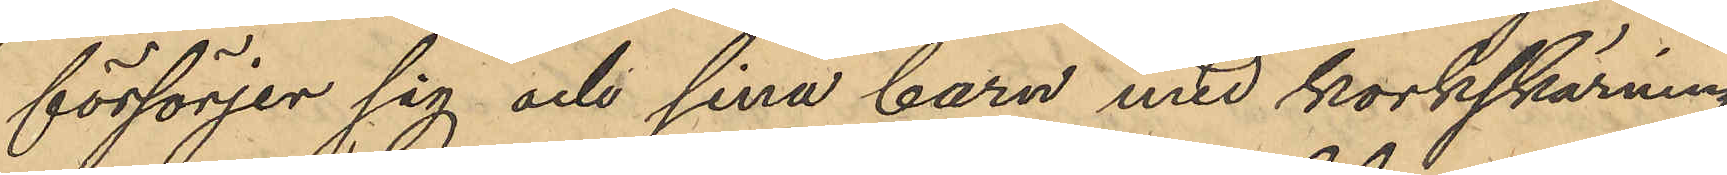försörjer sig och sina barn med korkskärning,
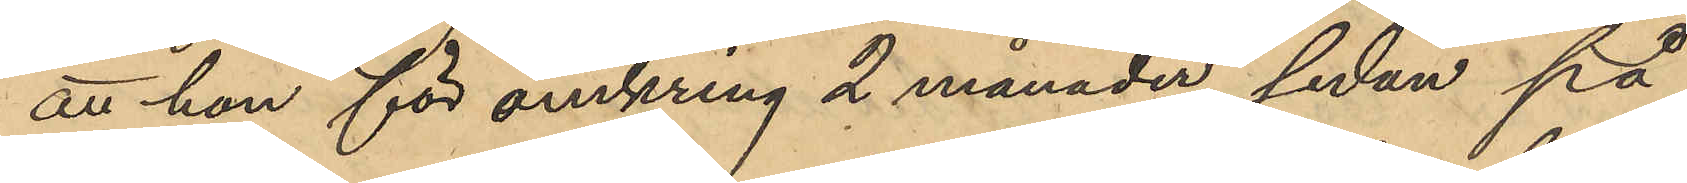att hon för omkring 2 månader sedan på
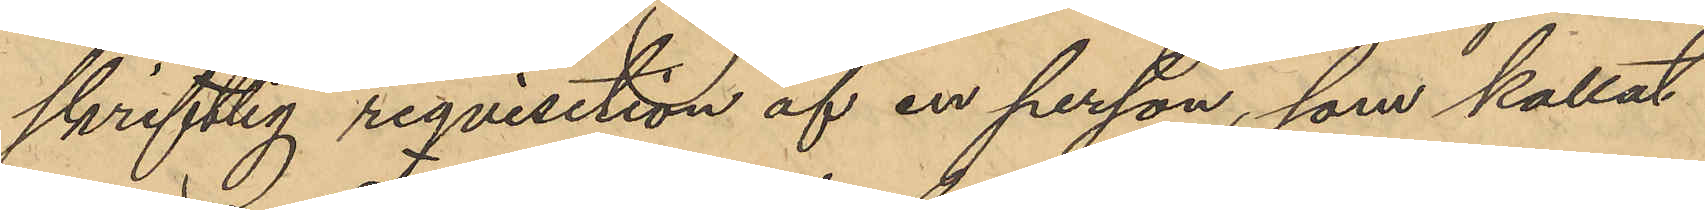skriftlig reqvisition af en person, som kallat
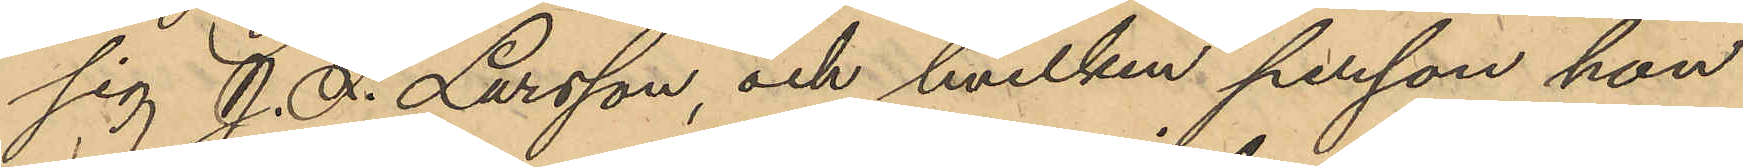sig J. F. Larsson, och hvilken person hon
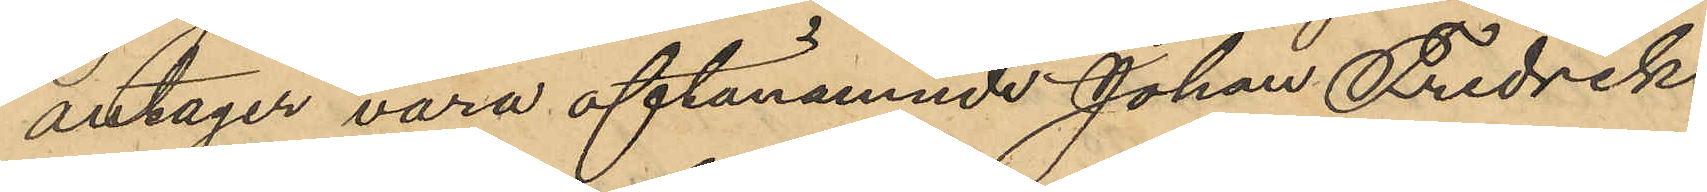antager vara oftanämnde Johan Fredrik
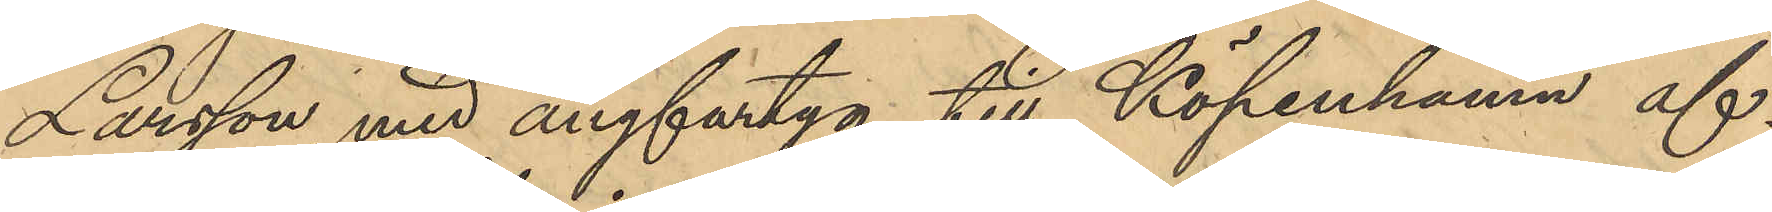Larsson med ångfartyg till Köpenhamn af¬
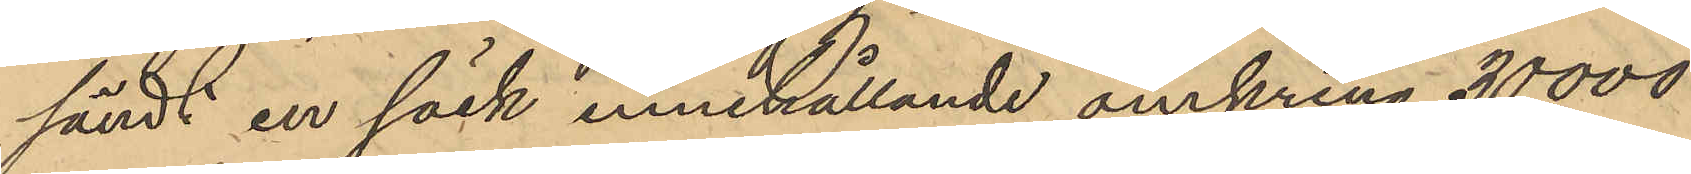sändt en säck innehållande omkring 30,000
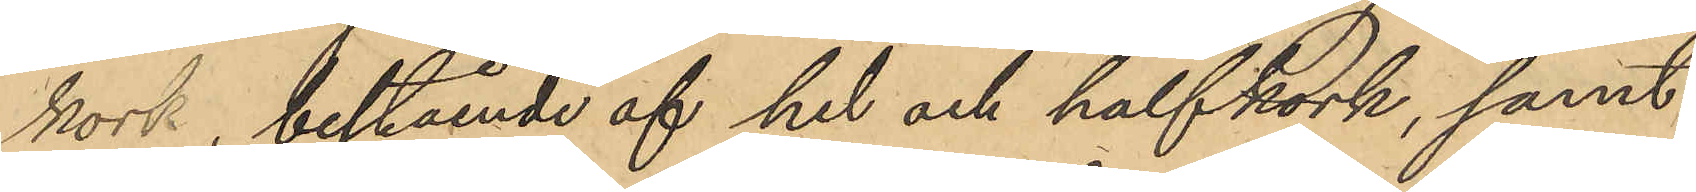kork, bestående af hel och halfkork, samt
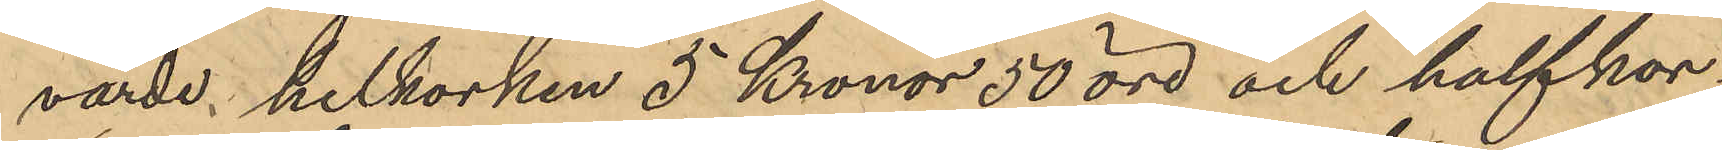värde helkorken 5 Kronor 50 öre och halfkor¬
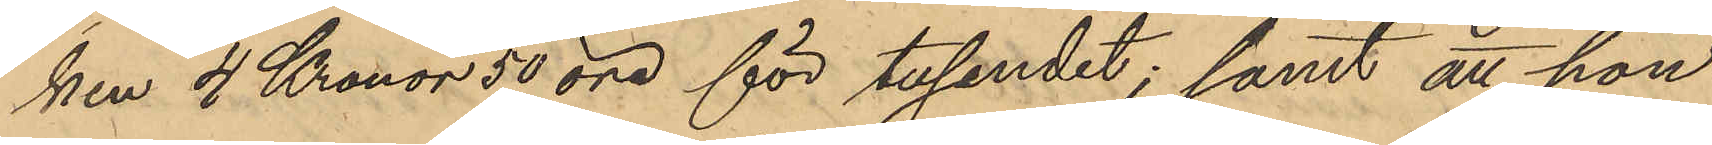ken 4 Kronor 50 öre för tusendet; samt att hon
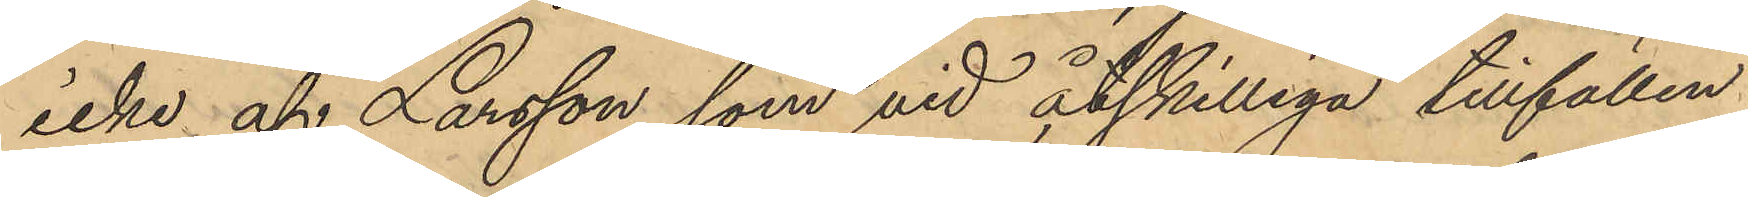icke af Larsson, som vid åtskilliga tillfällen
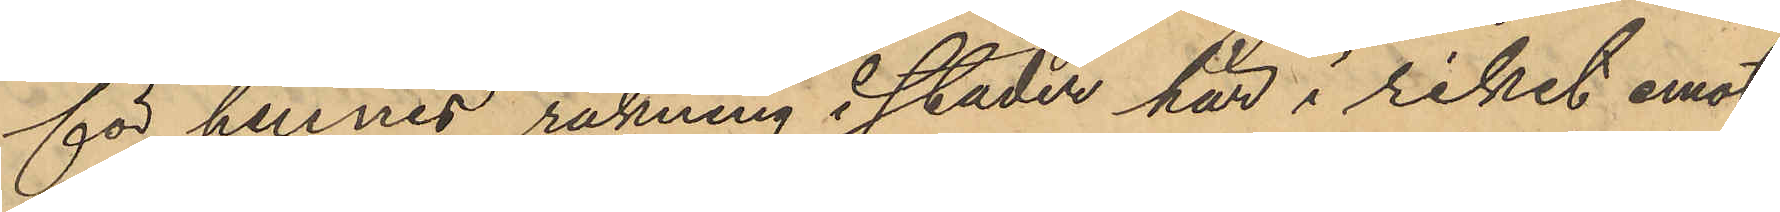för hennes räkning i staden här i riket emot¬
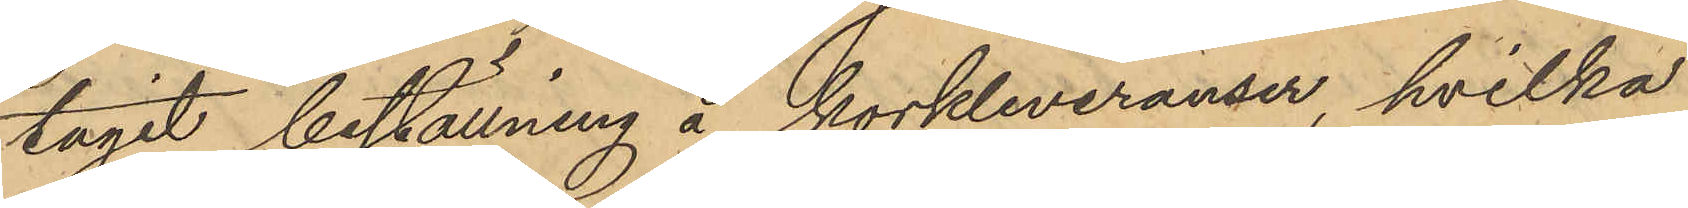tagit beställning å korkleveranser, hvilka
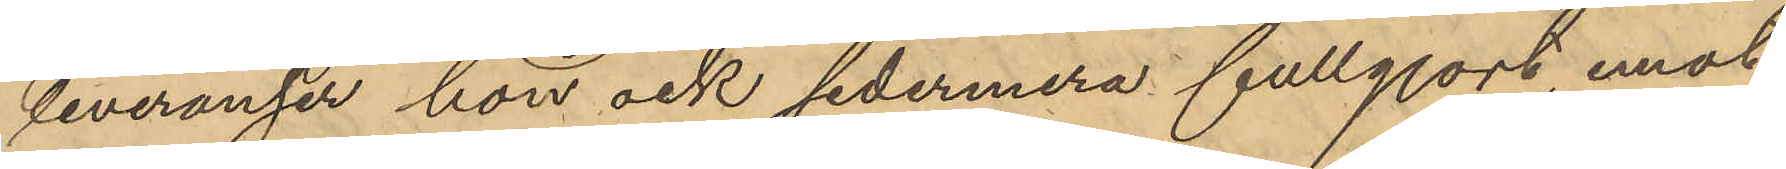leveranser hon ock sedermera fullgjort, emot-
